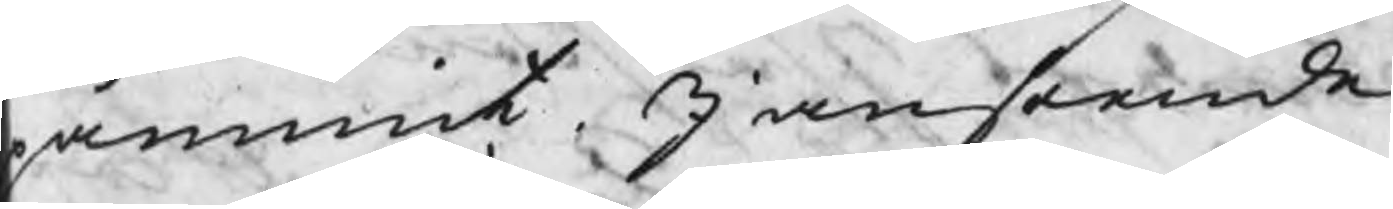åmint. I anseende
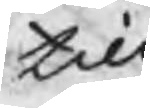till
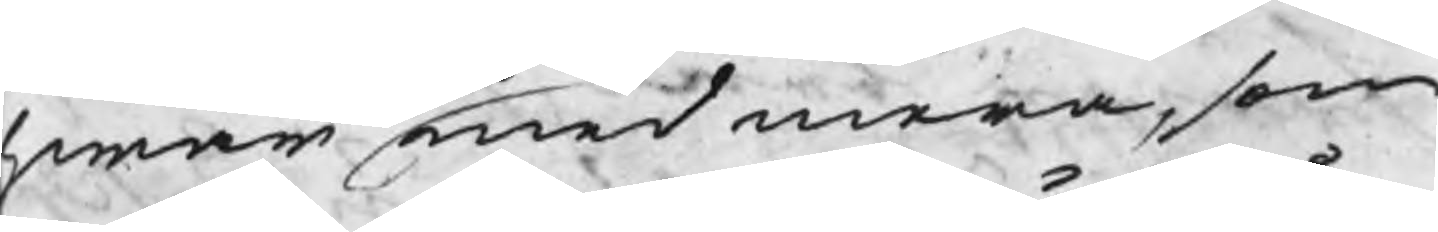hwar med mera, som
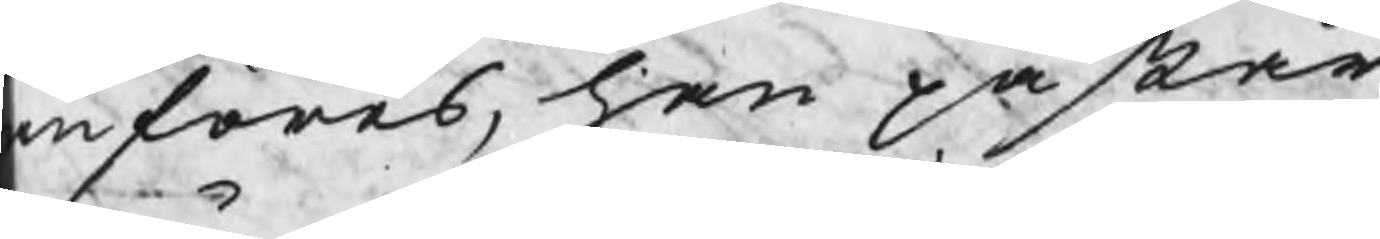nföras, han påstår
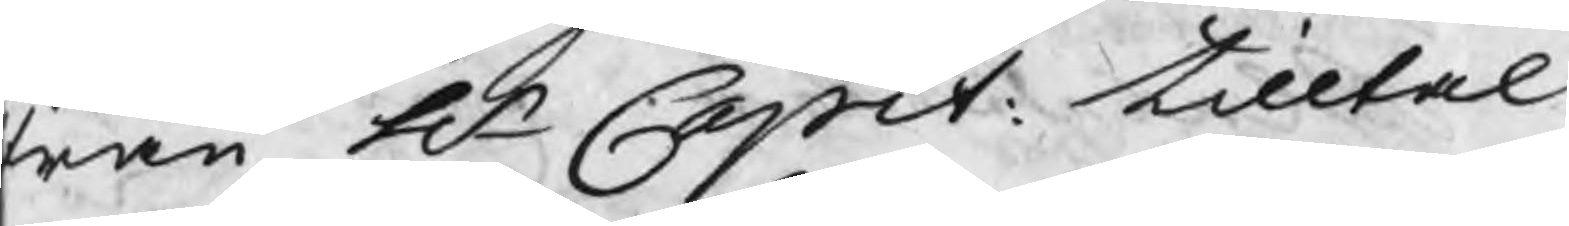rån Hr Capit: tilltal
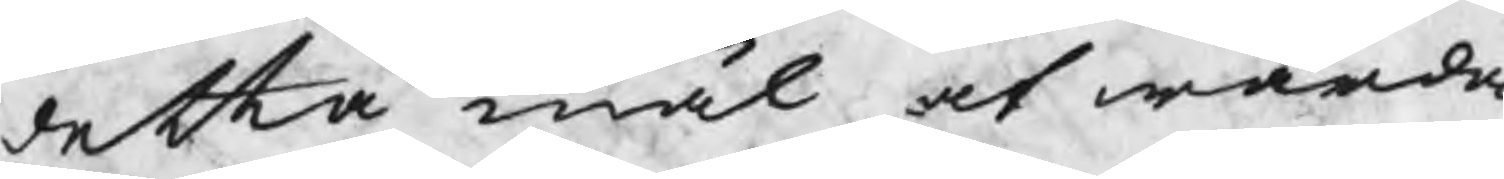detta mål at warda
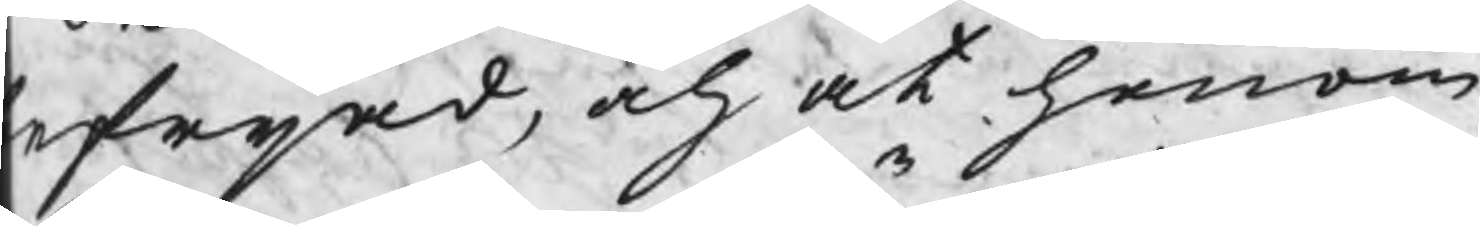efrijad, och at honom
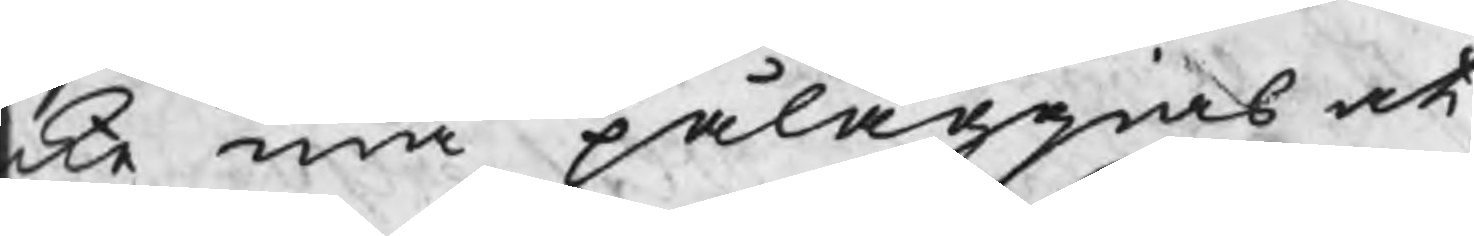cke må påläggias at
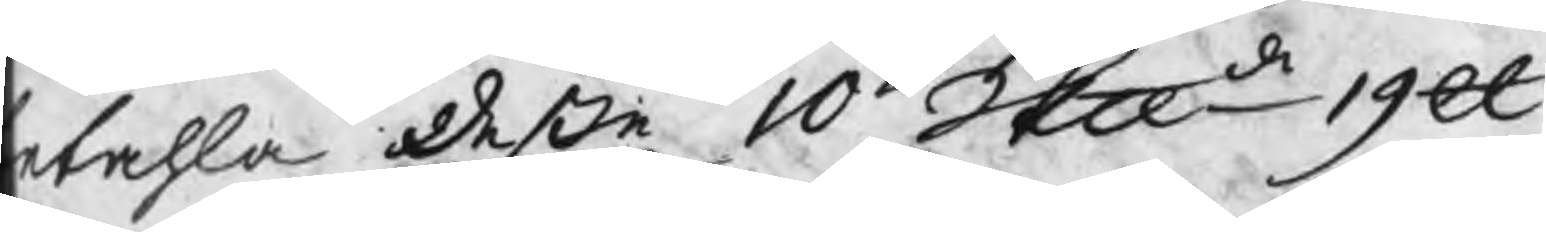etahla deße 10 Skp 19 ℔
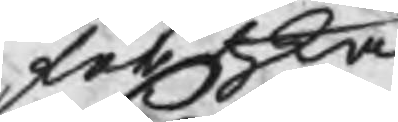för hka
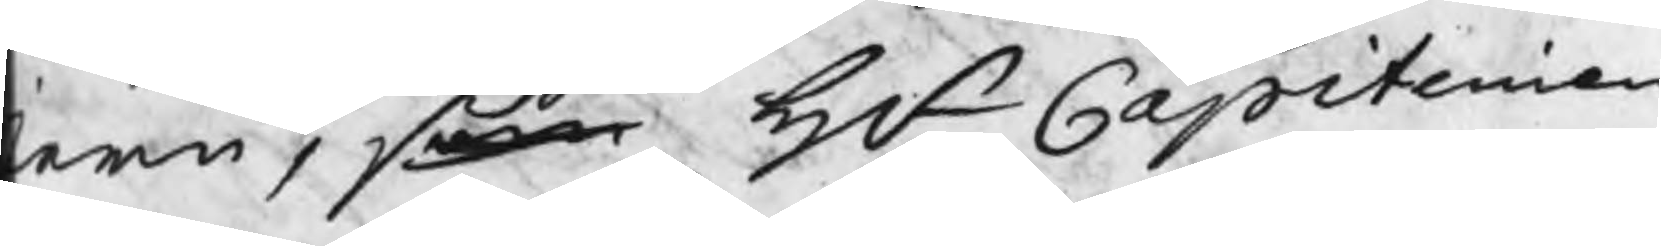ern, som Hr Capitenien
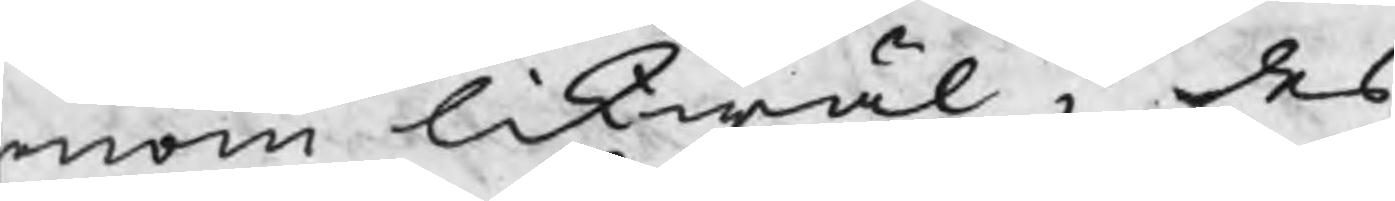onom likwäl i des
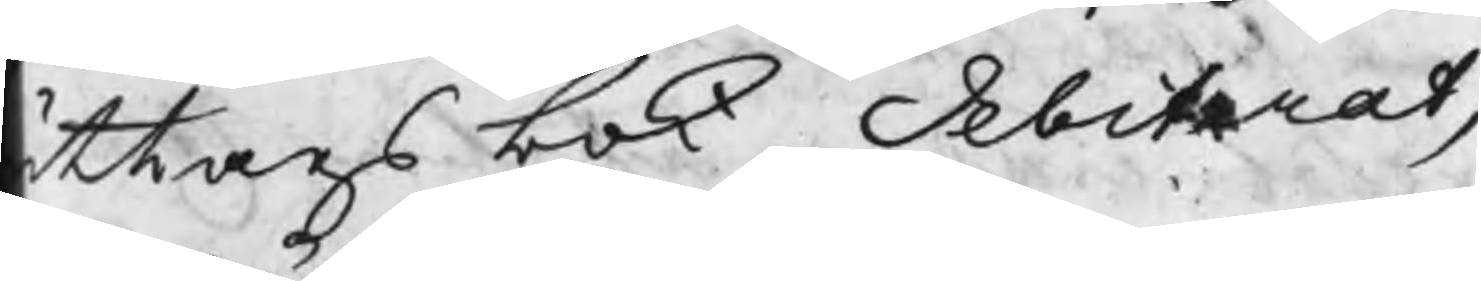ttagsbok debiterat,
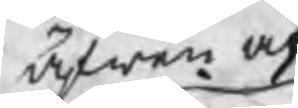äfwen at
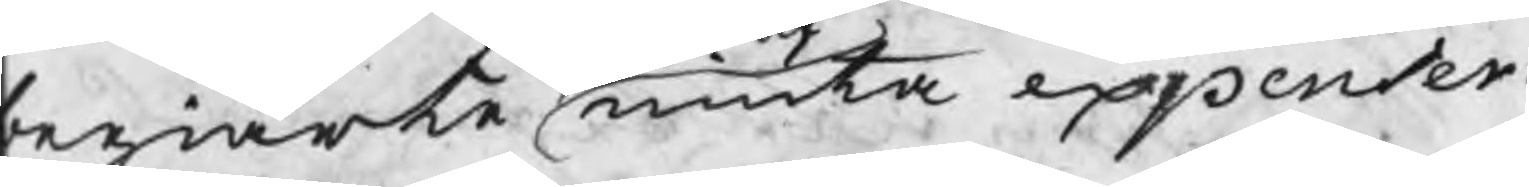begiärte niuta expenser.
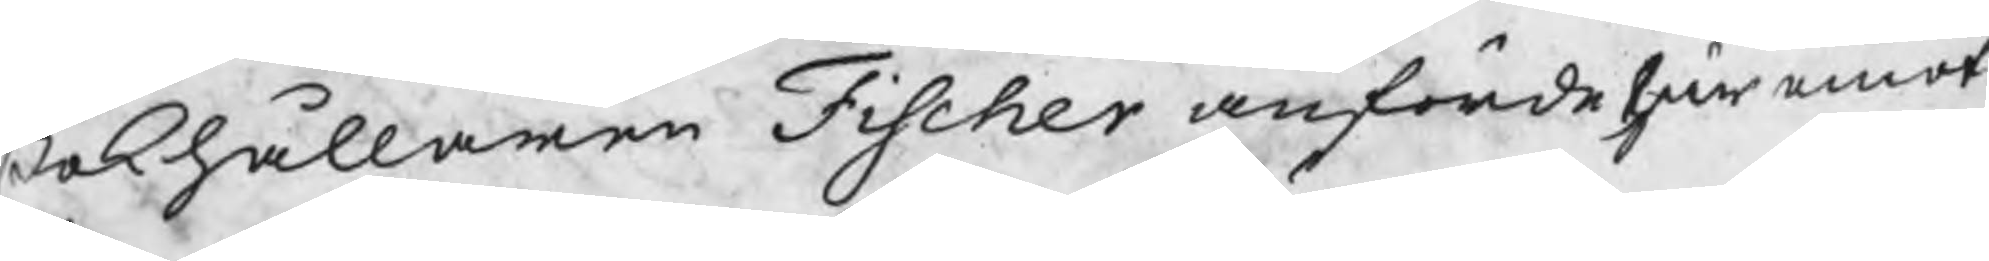Bokhållaren Fischer anförde här emot
